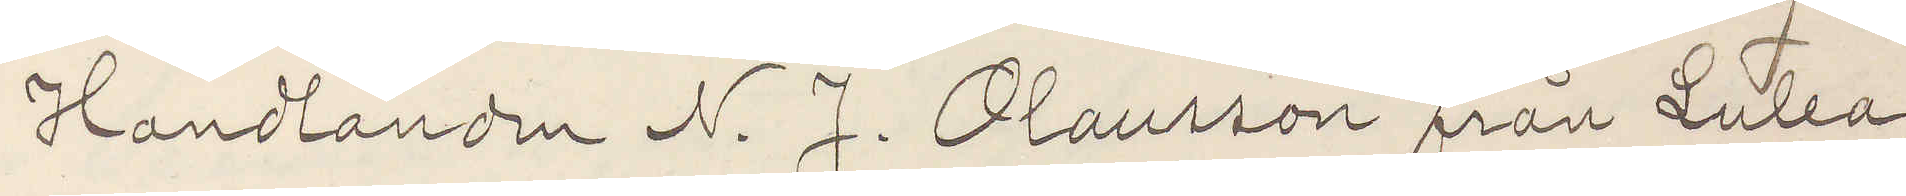Handlanden N. J. Olausson från Luleå,
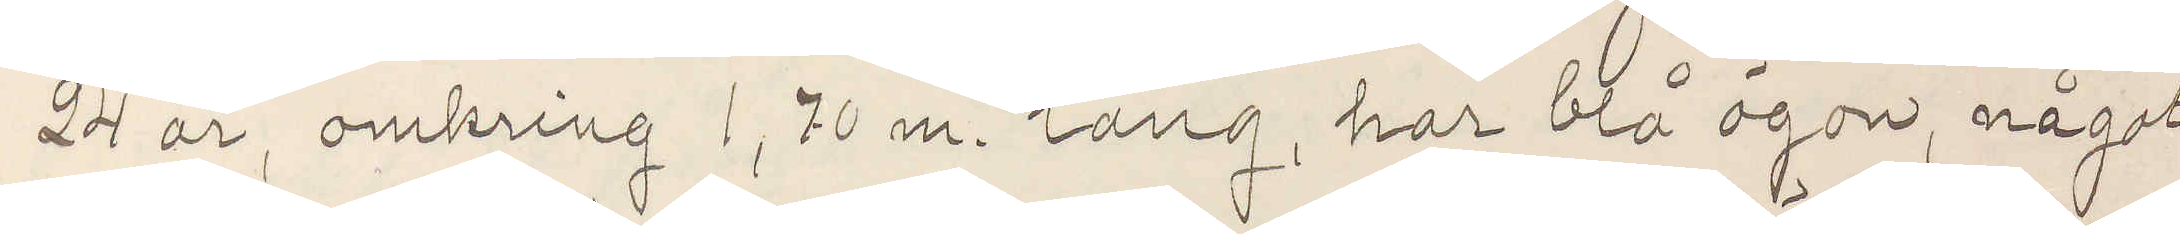24 år, omkring 1,70 m. lång, har blå ögon, något
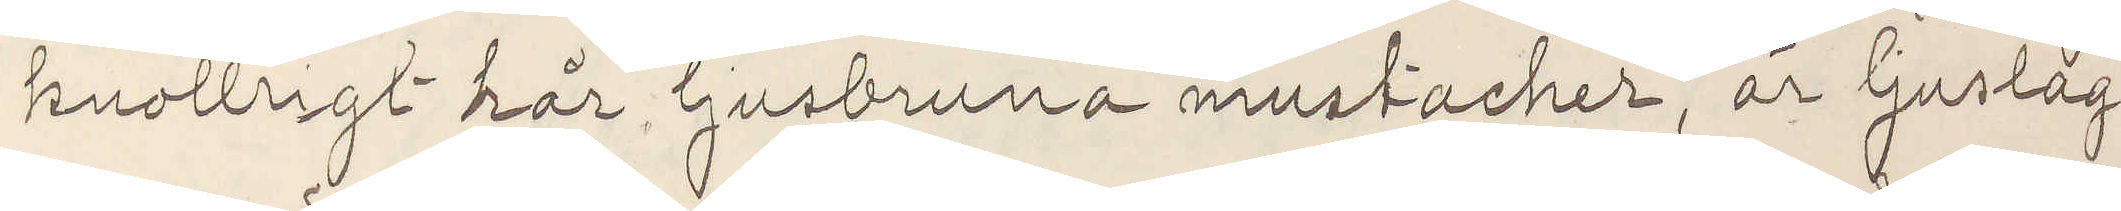knollrigt hår ljusbruna mustacher, är ljuslagd
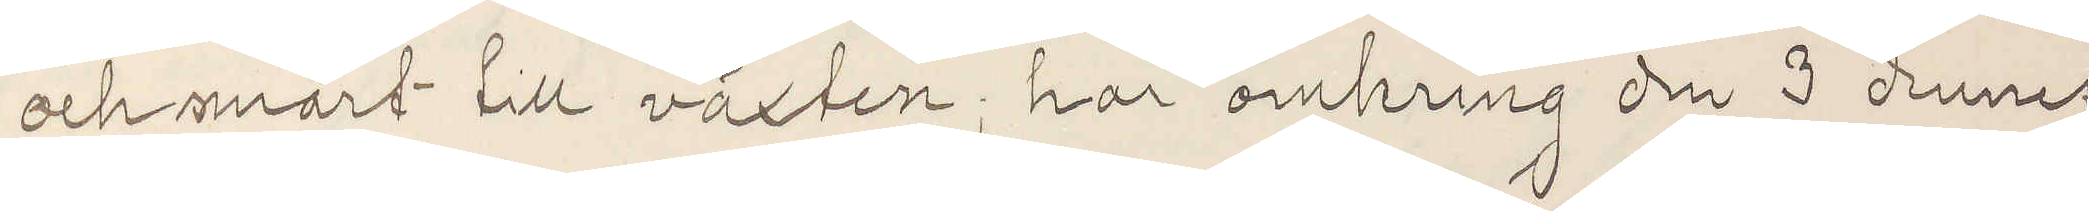och smärt till växten, har omkring den 3 dennes
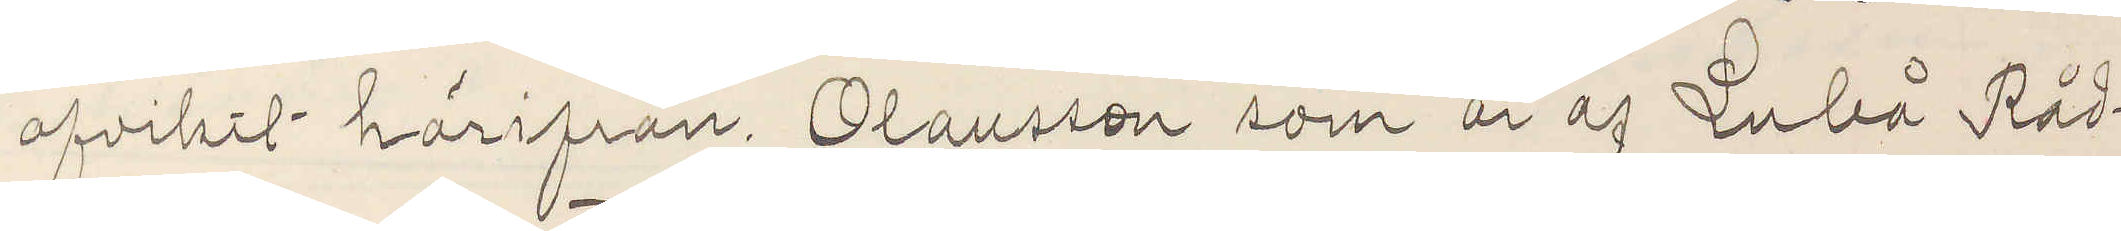afvikit härifrån. Olausson som är af Luleå Råd¬
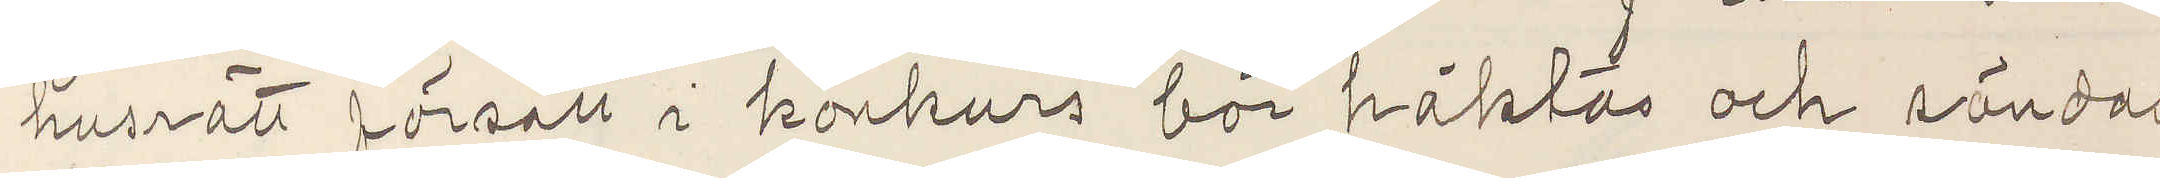husrätt försatt i konkurs bör häktas och sändas
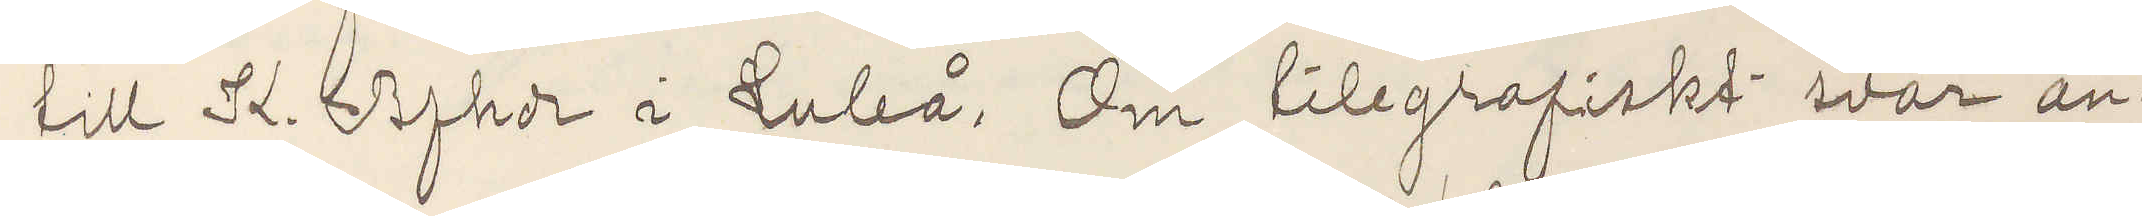till K. Bfhde i Luleå. Om telegrafiskt svar an¬
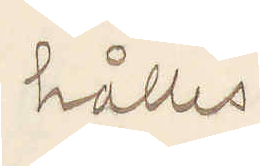hålles
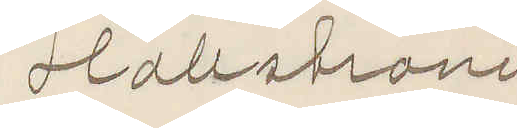Hallstrand
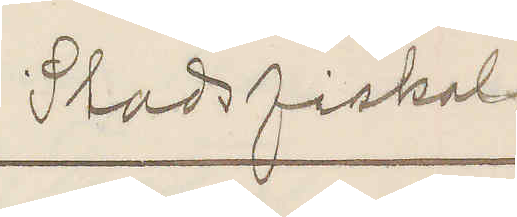Stadsfiskal.
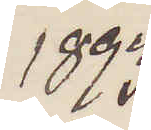1893
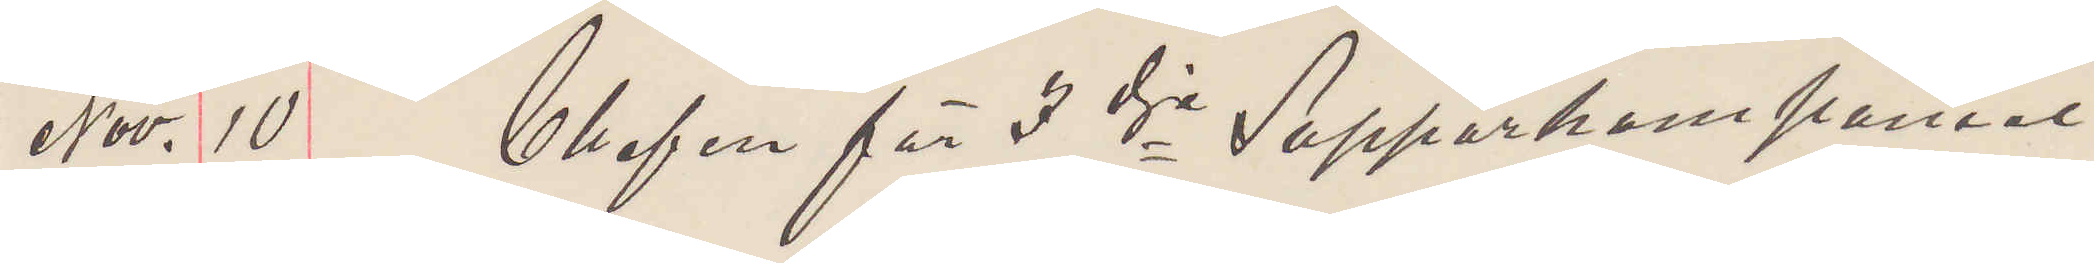Nov. 10 Chefen för 3dje Sapporkompaniet
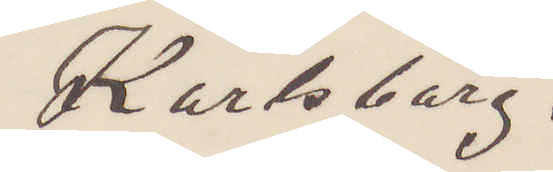Karlsborg.
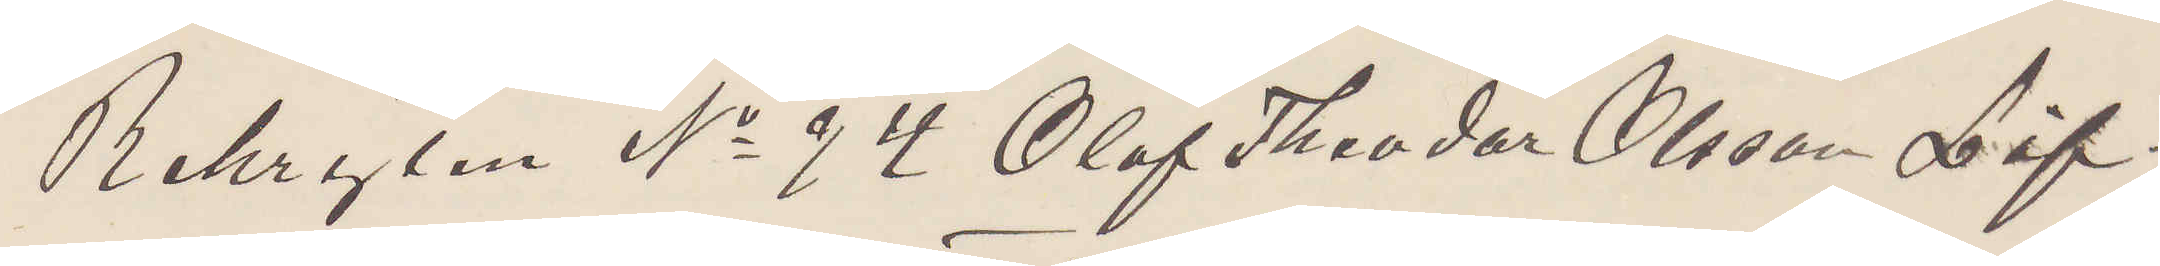Rekryten No 94 Olof Theodor Olsson Lif¬
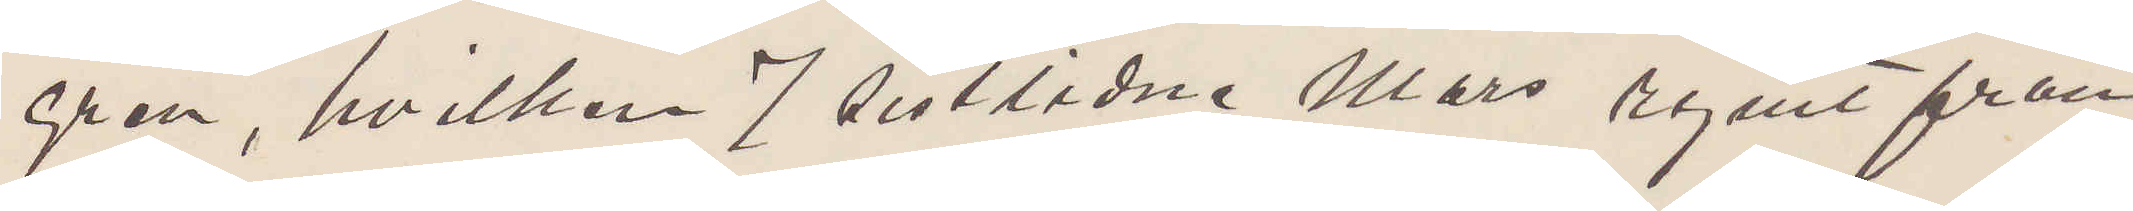gren, hvilken 7 sistlidne Mars rymt från
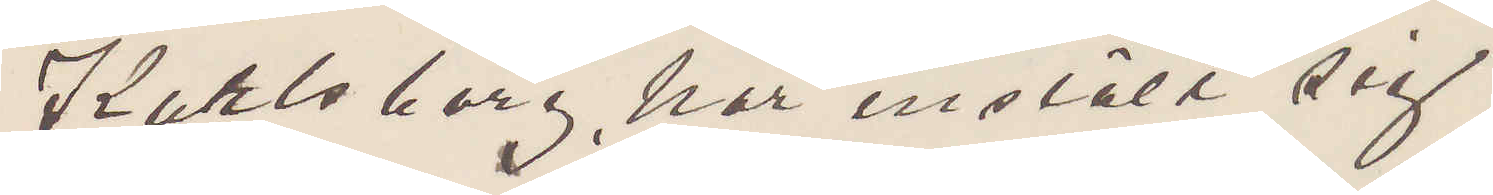Karlsborg, här inställt sig.
